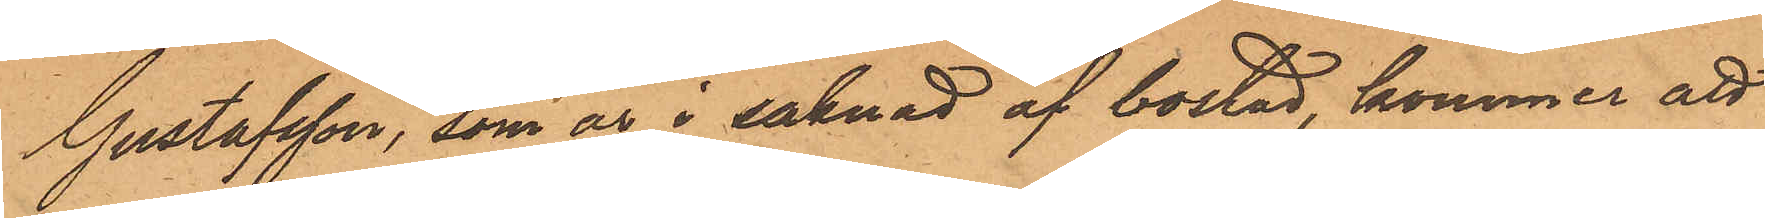Gustafsson, som är i saknad af bostad, kommer att
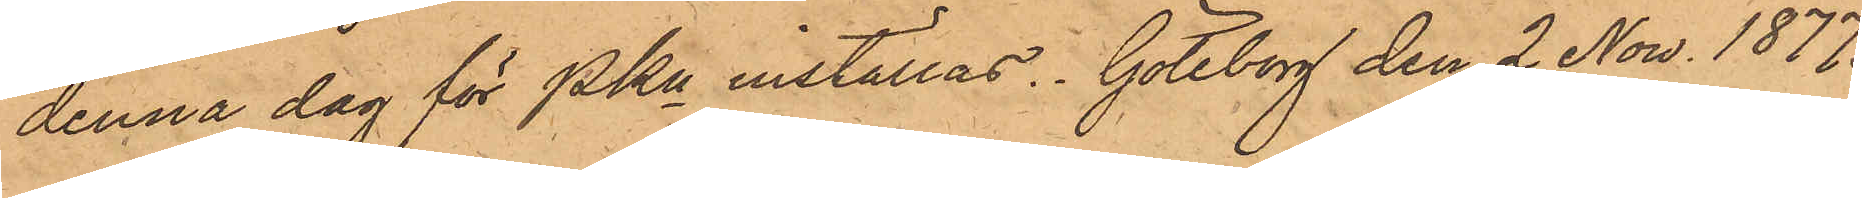denna dag för PKn inställas. Göteborg den 2 Now. 1877.
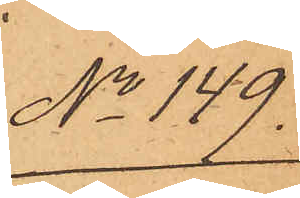No 149.
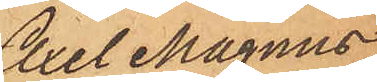Axel Magnus
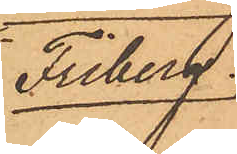Friberg.
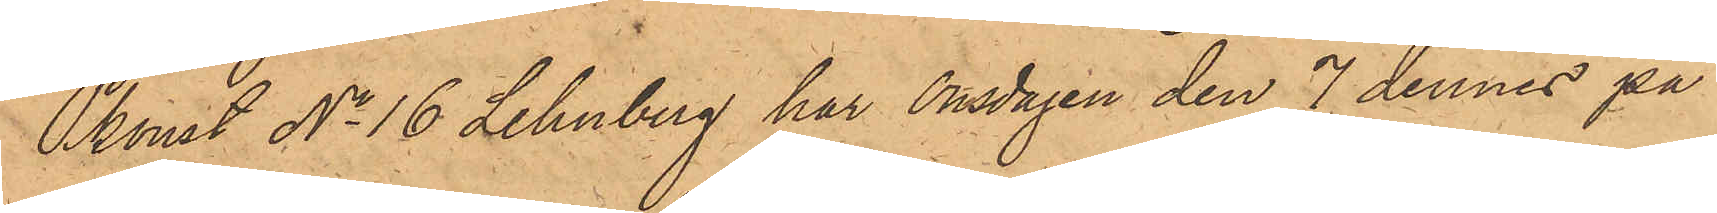Pkonst No 16 Lehnberg har Onsdagen den 7 dennes på
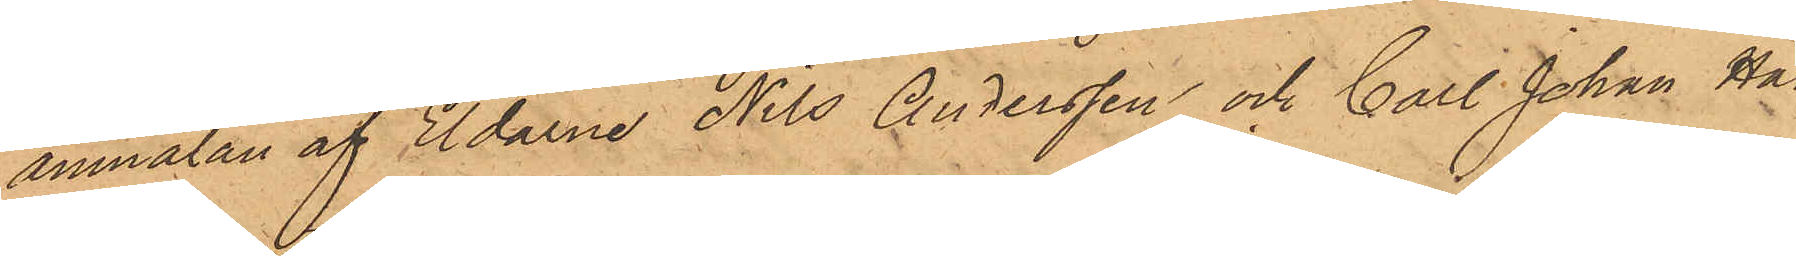anmälan af Eldarne Nils Andersson och Carl Johan Han¬
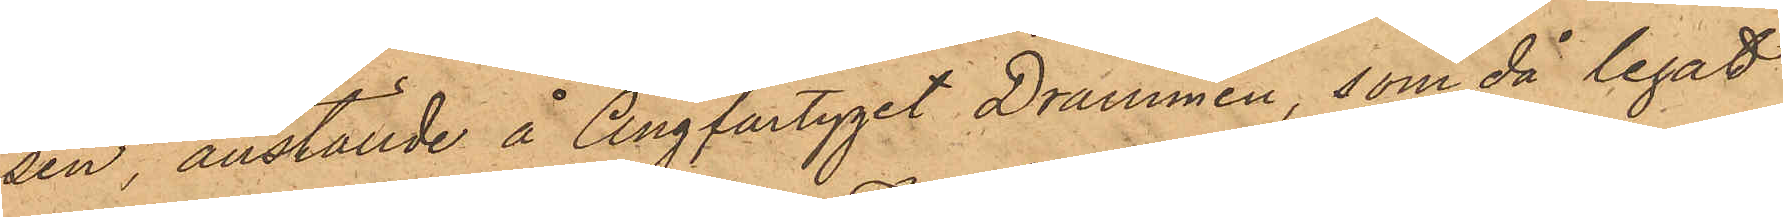sen, anställde å Ångfartyget Drammen, som då legat
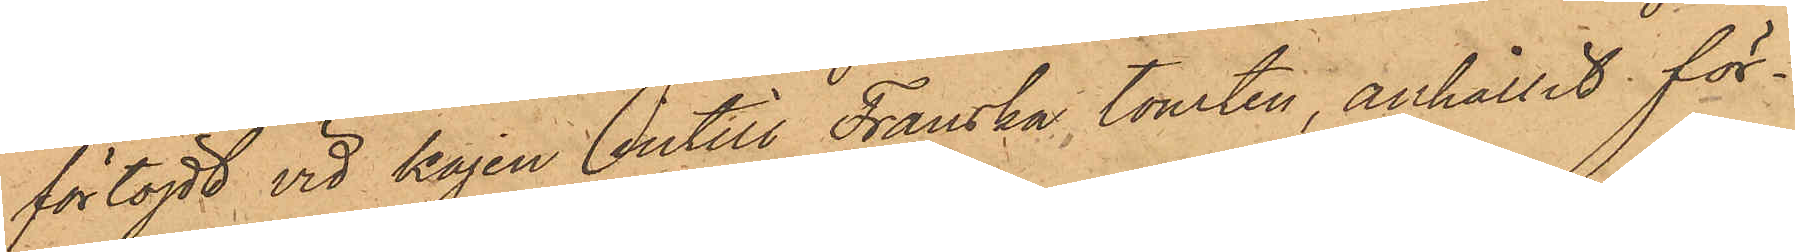förtöjdt vid kajen intill Franska tomten, anhållit för¬
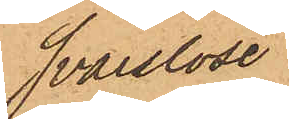svarslöse
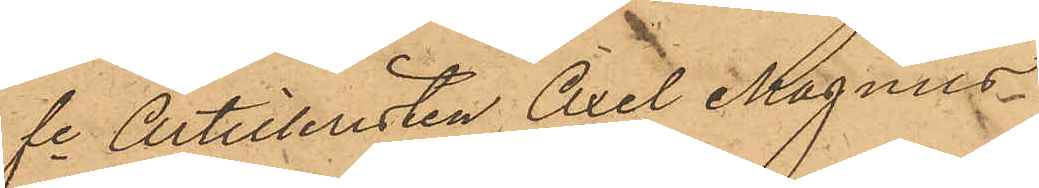fe Artilleristen Axel Magnus
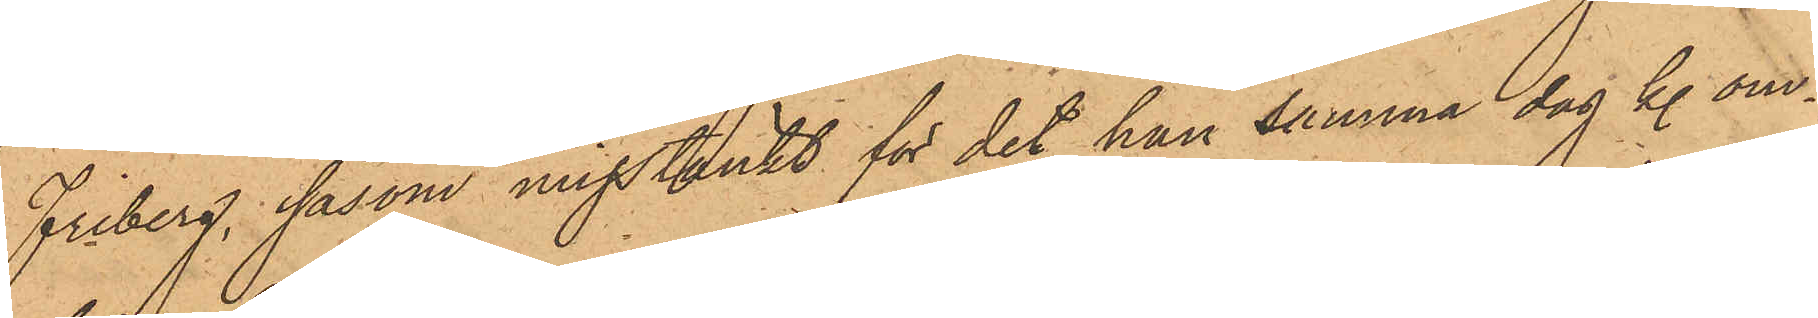Friberg, såsom misstänkt för det han samma dag kl. om¬
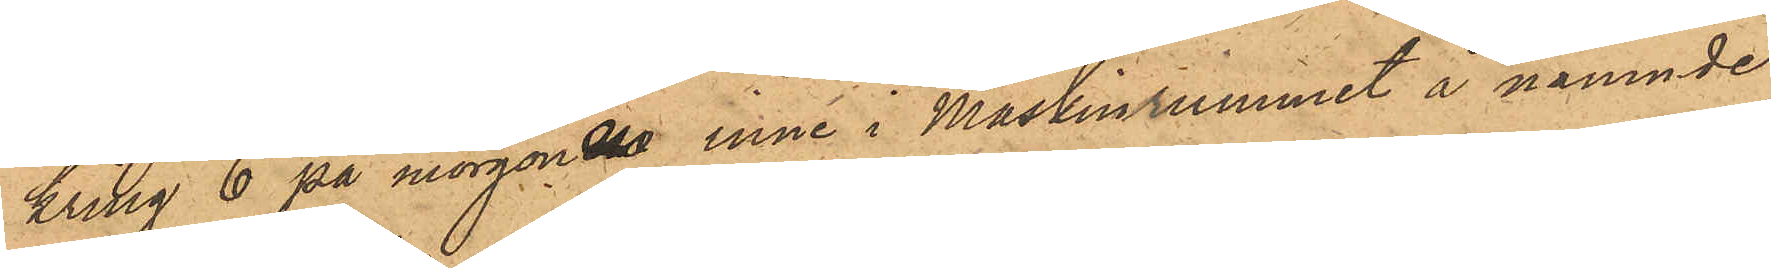kring 6 på morgonen inne i Maskinrummet å nämnde
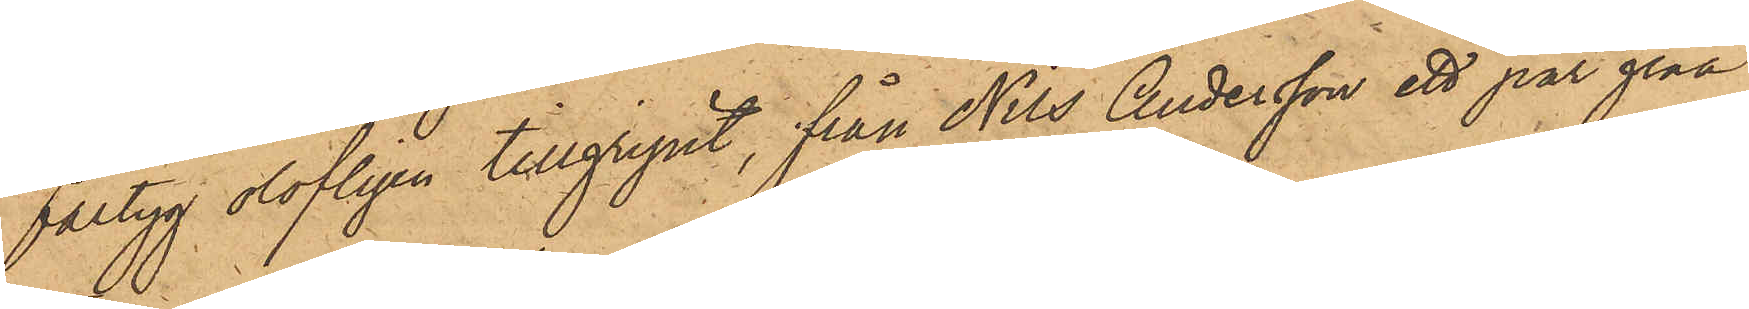fartyg olofligen tillgripit, från Nils Andersson ett par gråa
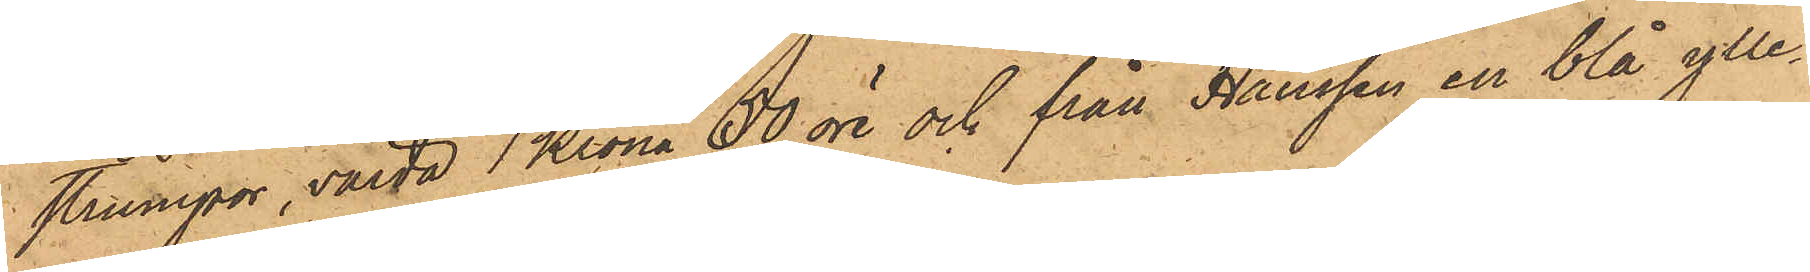strumpor, värda 1 Krona 50 öre och från Hanssen en blå ylle¬
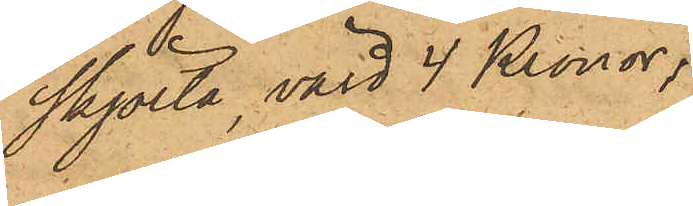skjorta, värd 4 Kronor,
